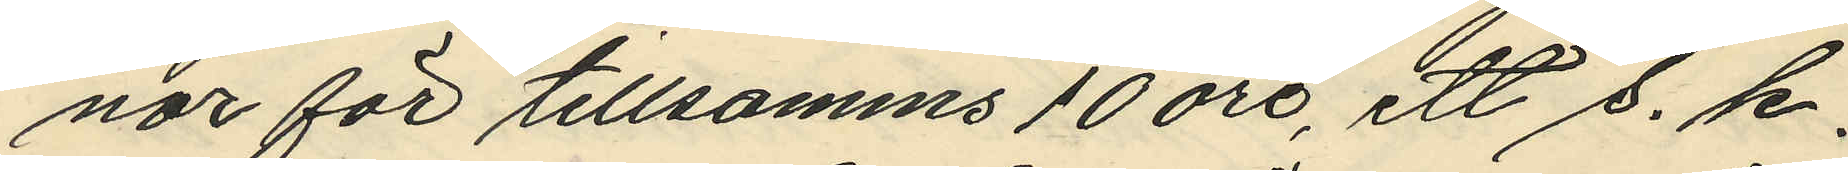nor för tillsamma 10 öre, ett s. k.
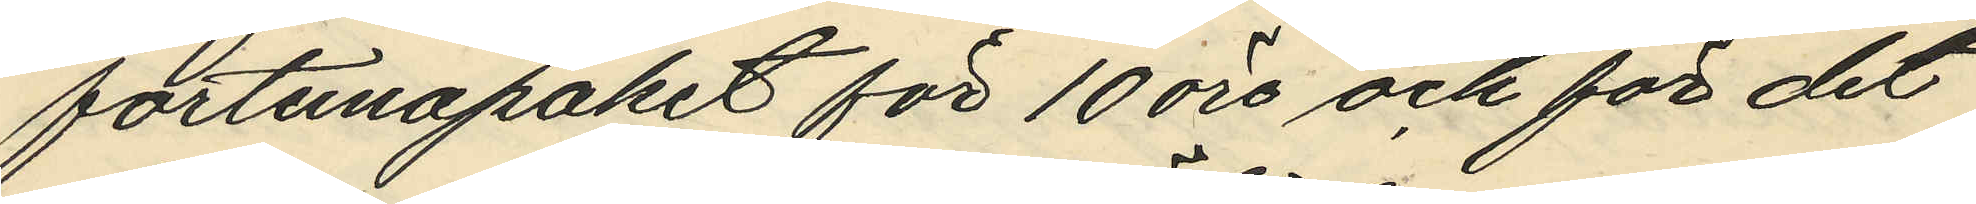fortunapaket för 10 öre och för det
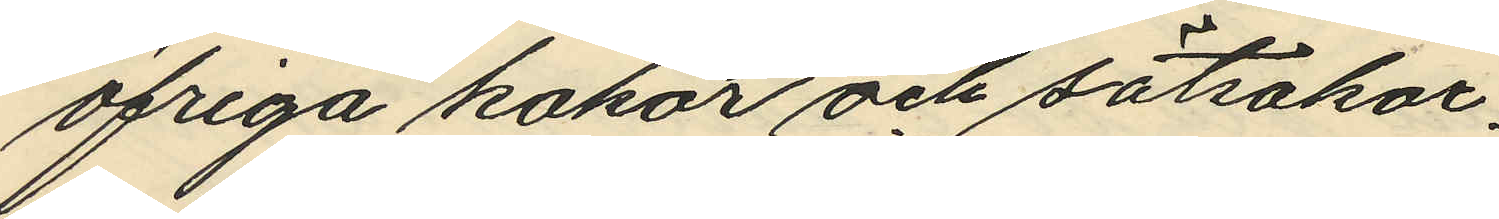öfriga kakor och sötsakor.
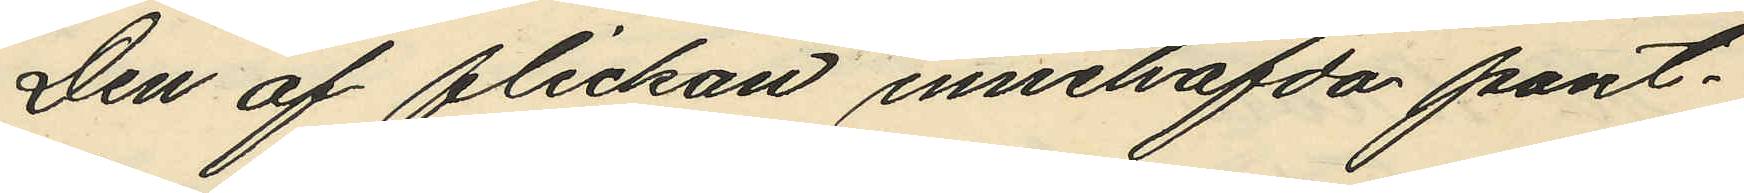Den af flickan innehafvda pant¬
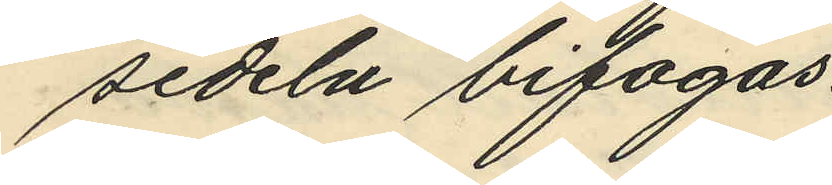sedeln bifogas.
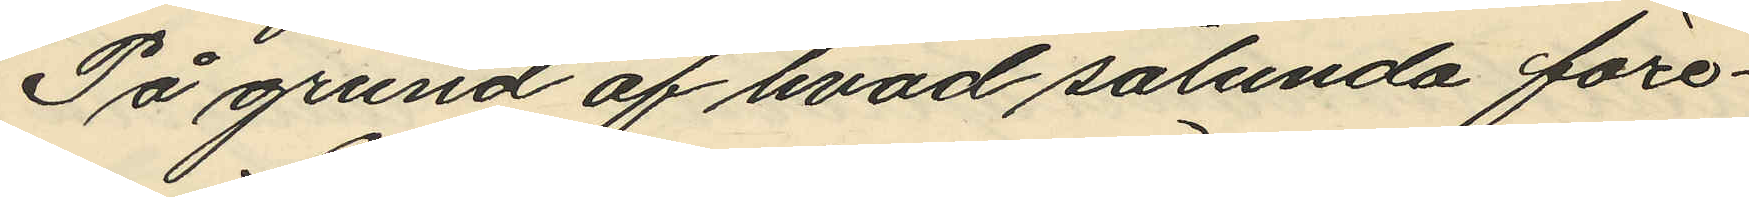På grund af hvad sålunda före¬
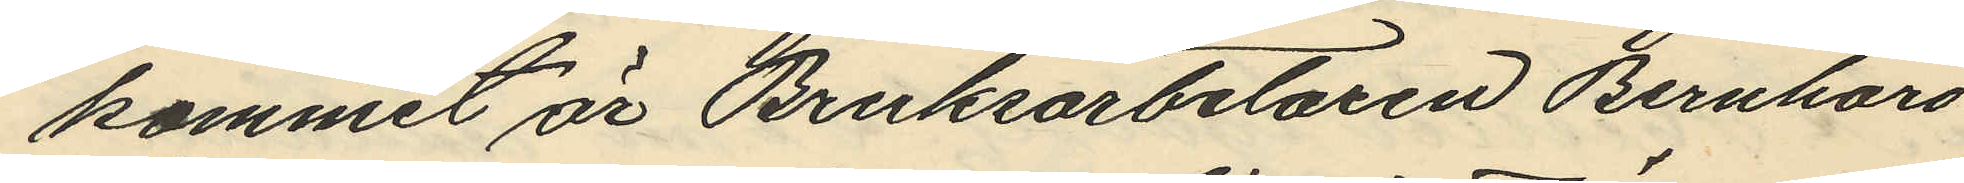kommit är Bruksarbetaren Bernhard
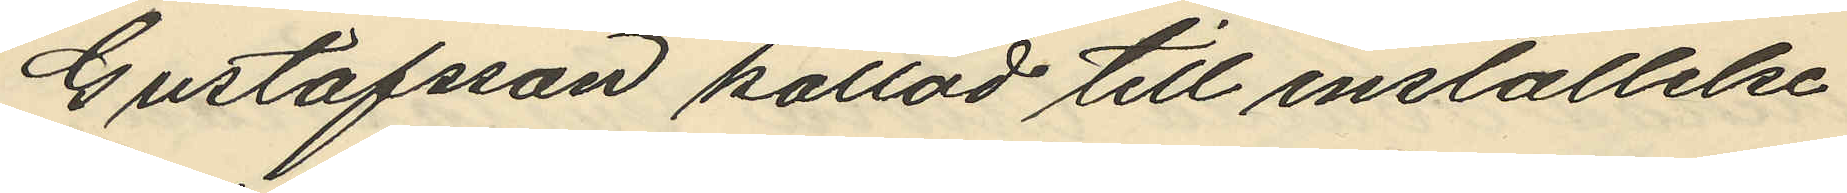Gustafsson kallad till inställelse
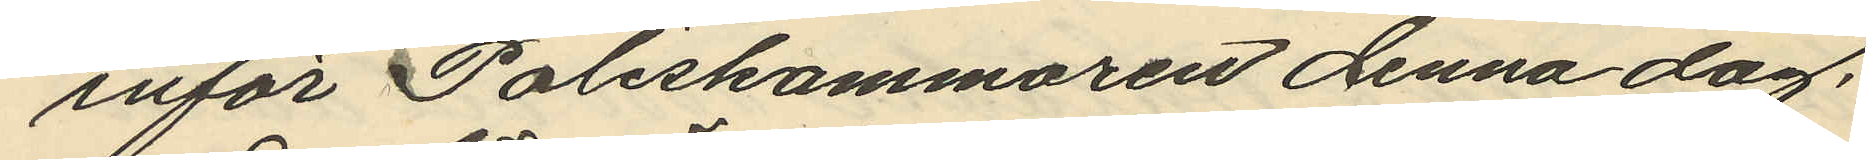inför Poliskammaren denna dag,
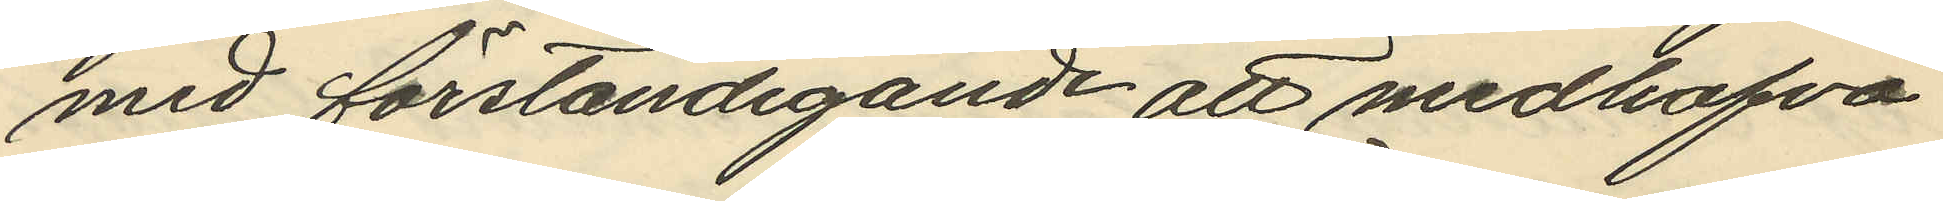med förständigande att medhafva
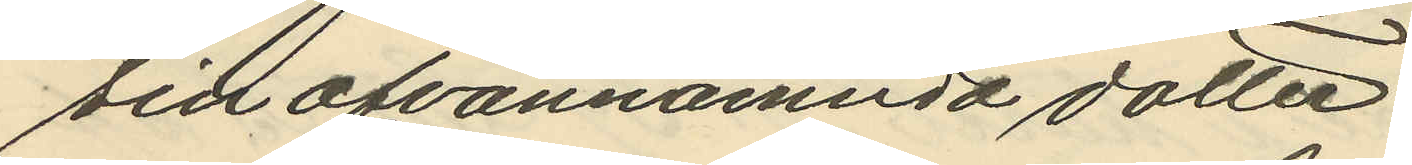sin ofvannämnda dotter.
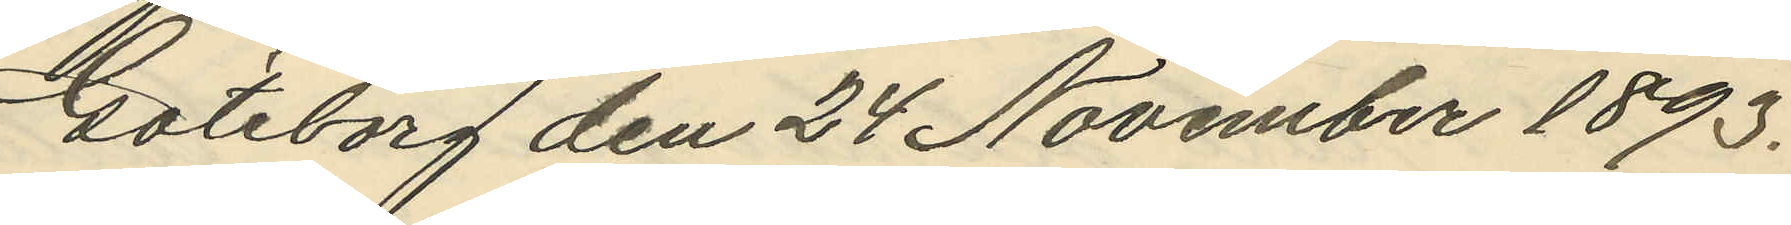Göteborg den 24 November 1893.
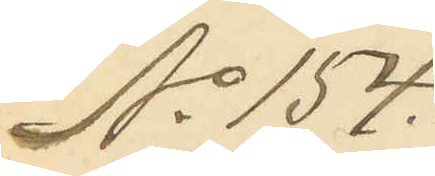No 154.
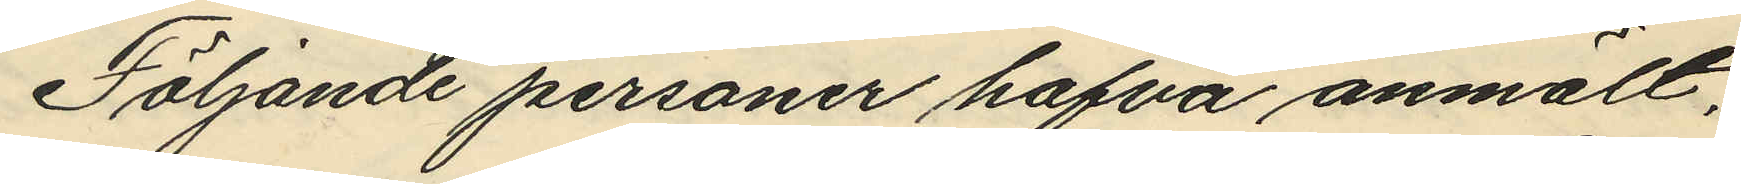Följande personer hafva anmält,
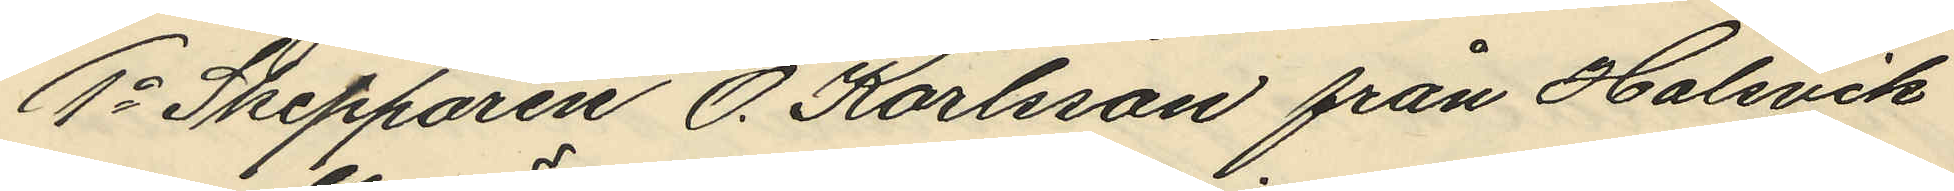1o Skepparen O. Karlsson från Halsvik
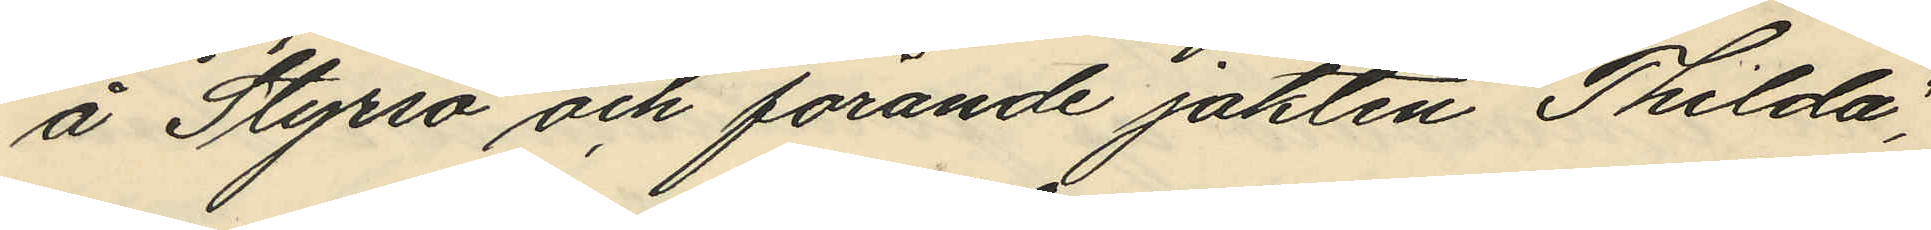å Styrsö och förande jakten "Thilda",
